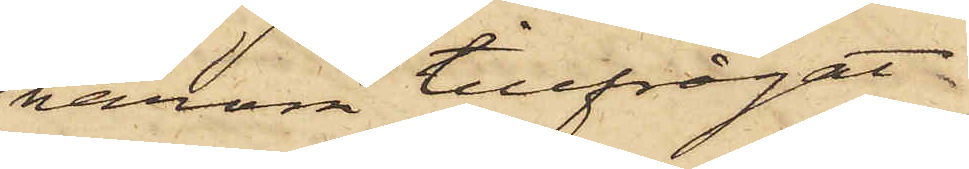härom tillfrågat
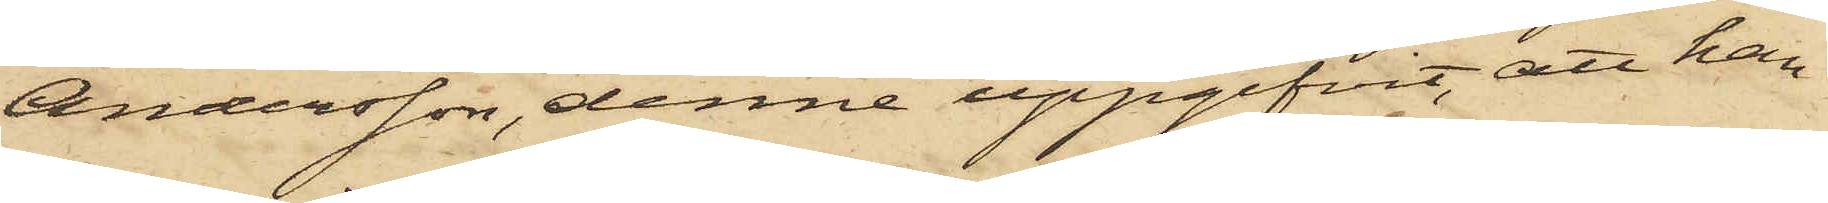Andersson, denne uppgifvit, att han
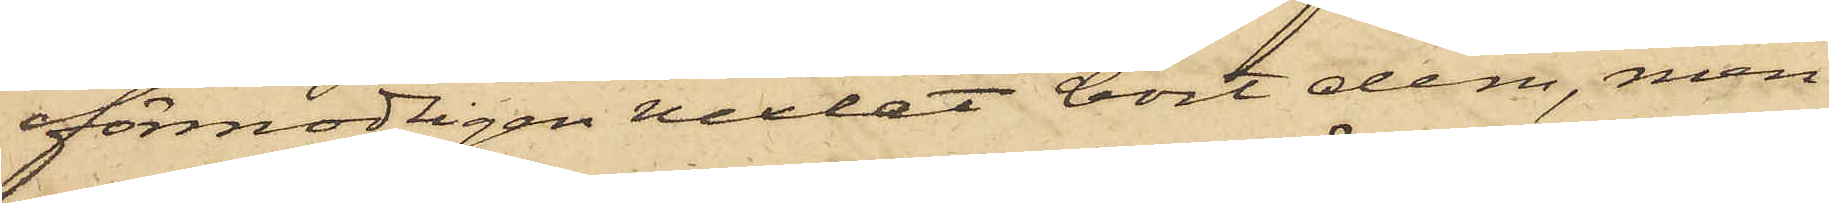förmodligen vexlat bort dem, men
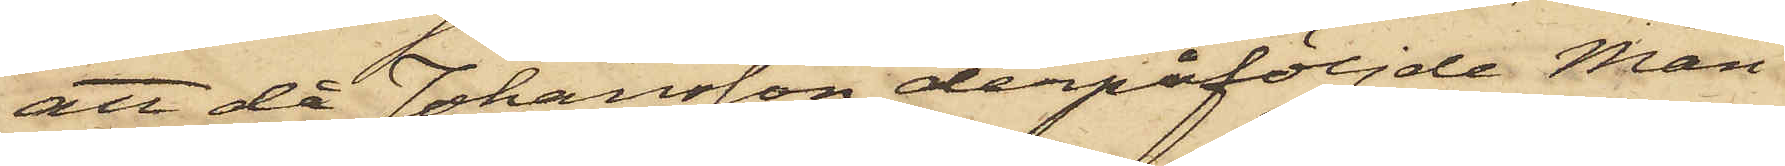att då Johansson derpåföljde Mån¬
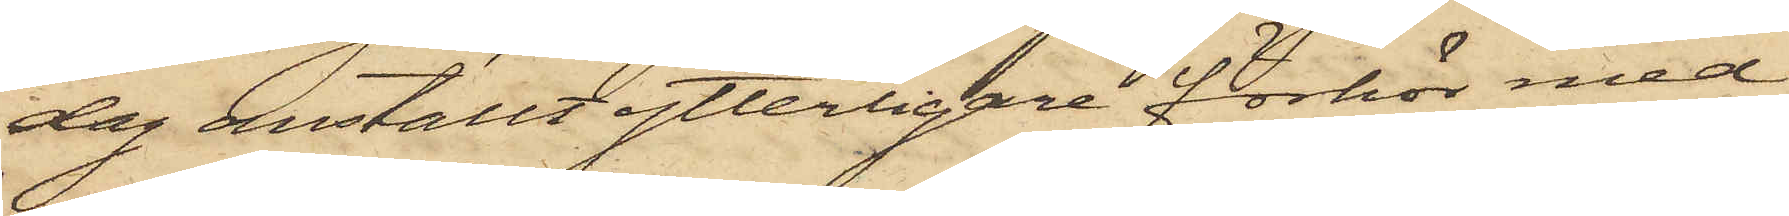dag anställt ytterligare förhör med
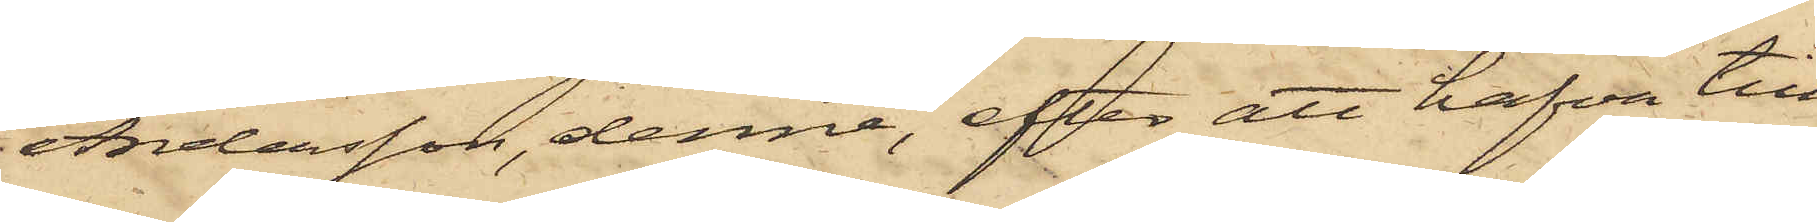Andersson, denne, efter att hafva till
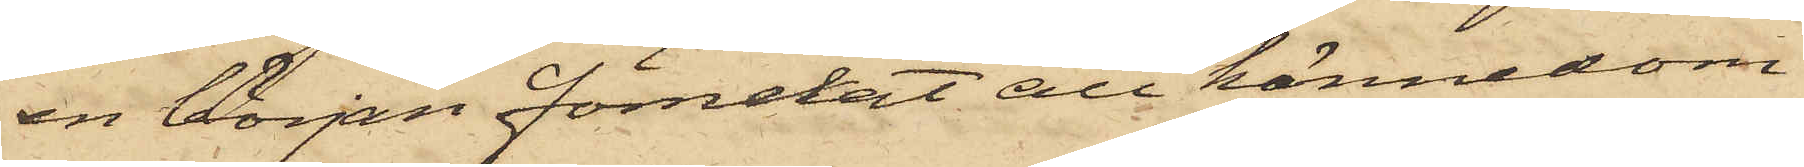en början förnekat all kännedom
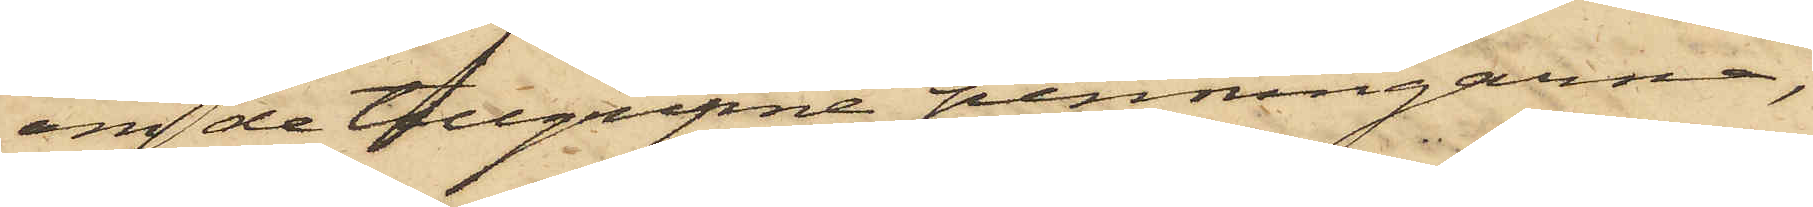om de tillgripne penningarne,
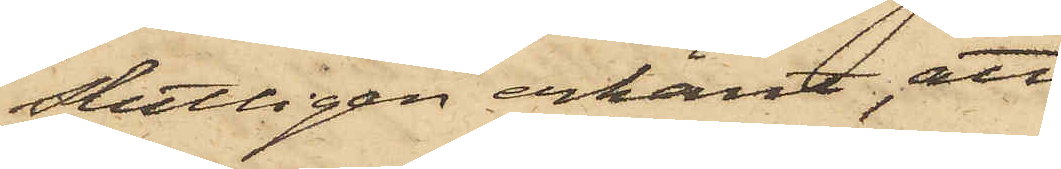slutligen erkänt, att
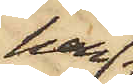han
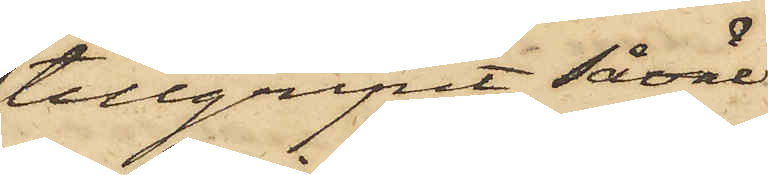tillgripit såväl
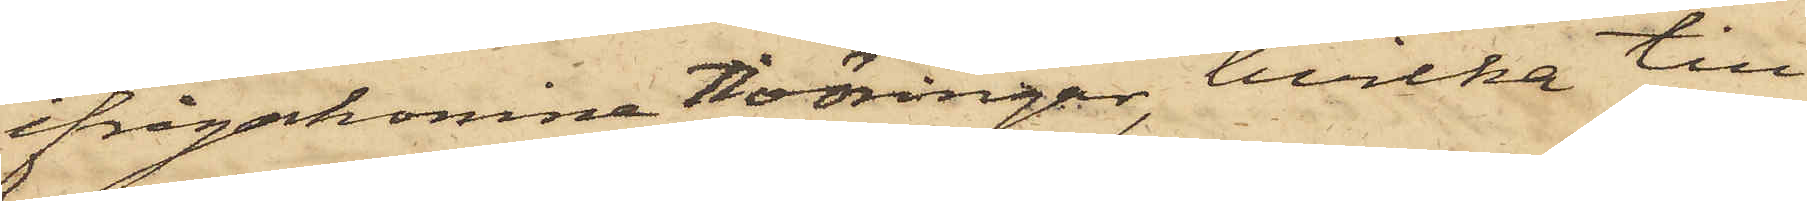ifrågakomne tioöringar, hvilka till
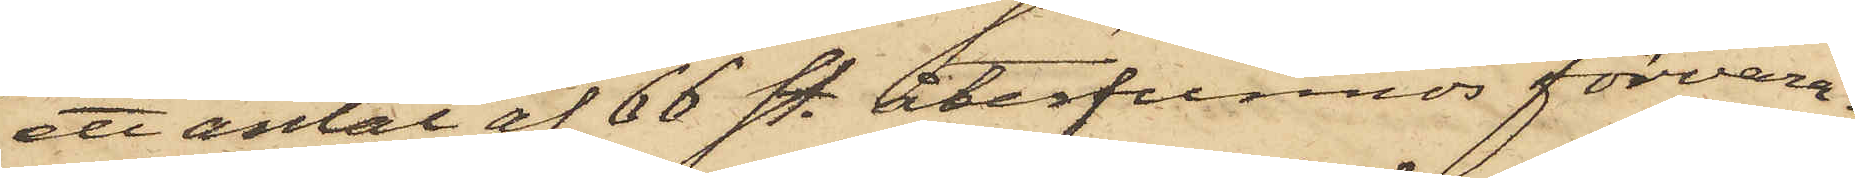ett antal af 66 st. återfunnos förvara¬
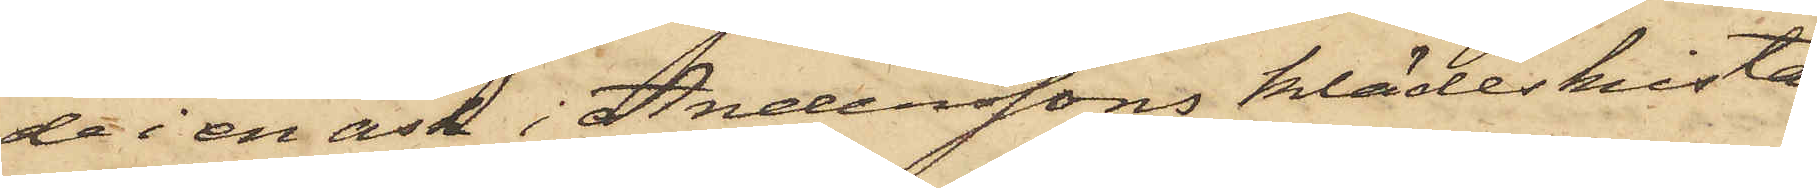de i en ask i Anderssons klädeskista
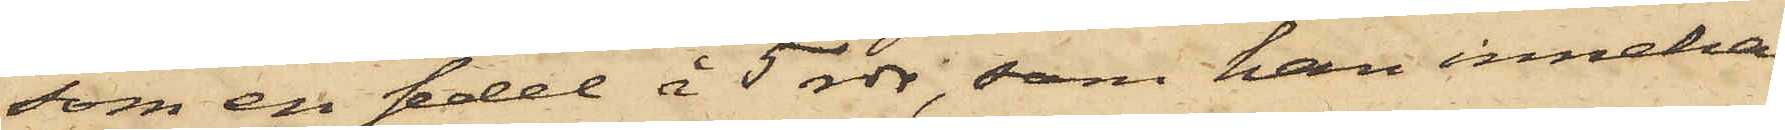som en sedel å 5 rdr, som han inneha¬
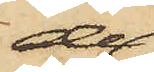de,
